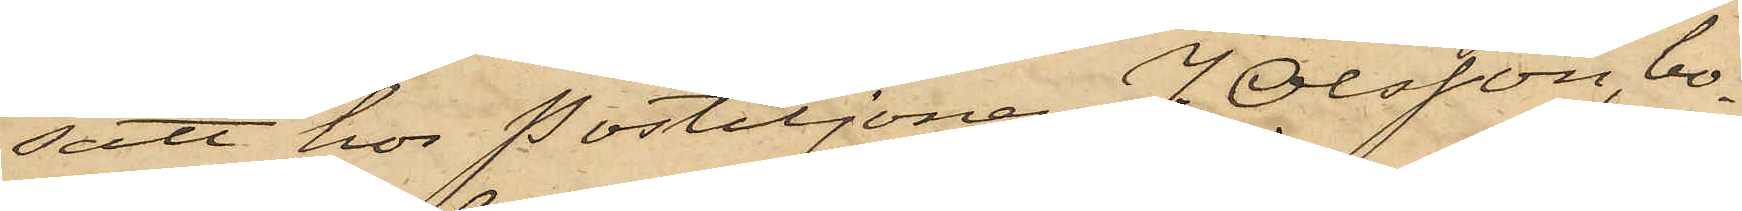satt hos Postiljonen J. Olsson, bo¬
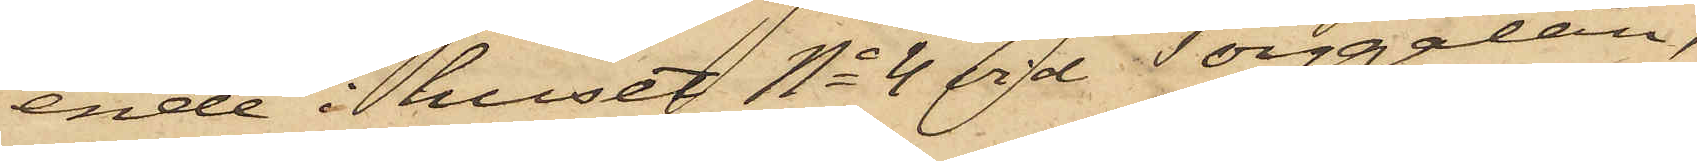ende i huset No 4 vid Torggatan,
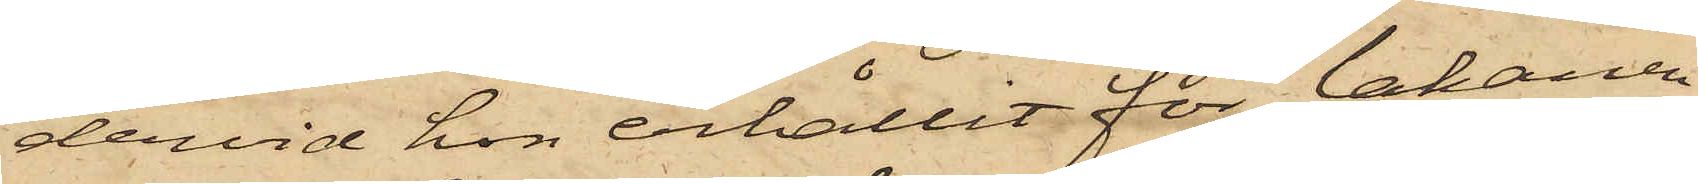dervid hon erhållit för lakanen
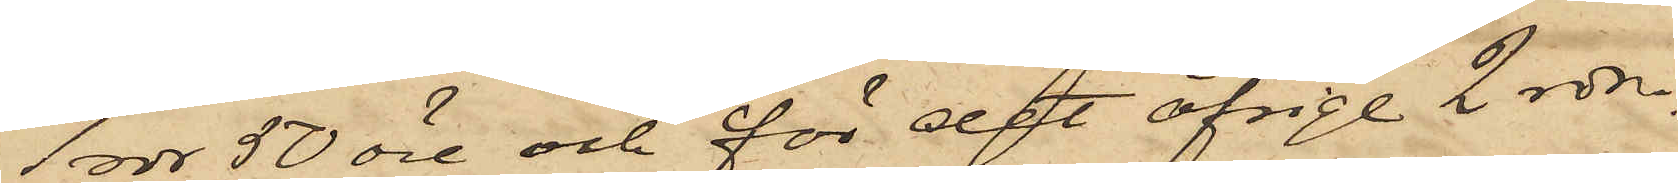1 rdr 50 öre och för det öfrige 2 rdr.
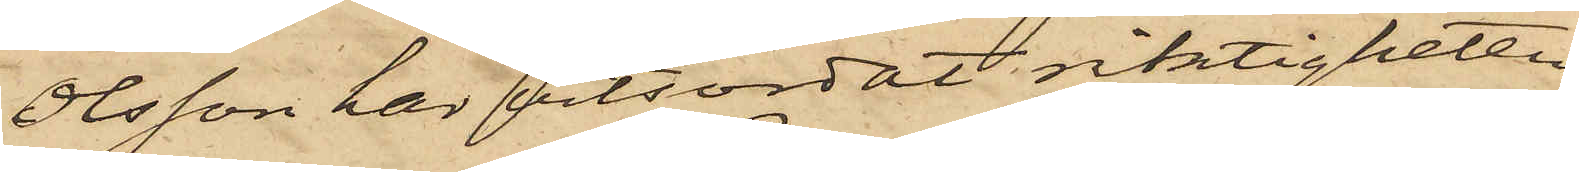Olsson har vitsordat riktigheten
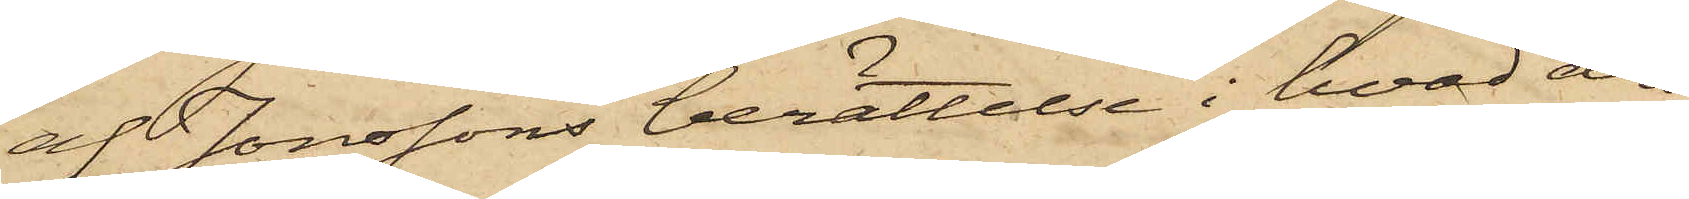at Jonssons berättelse i hvad den
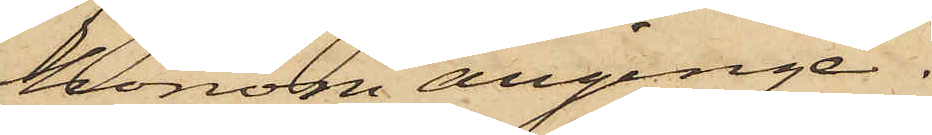honom anginge.
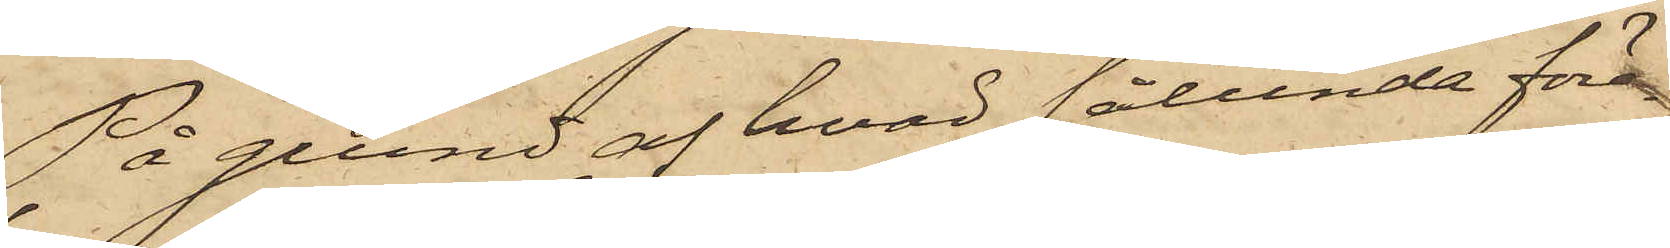På grund af hvad sålunda före¬
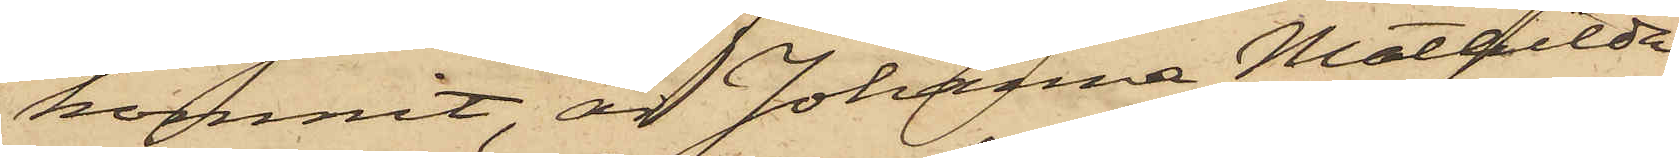kommit, är Johanna Mathilda
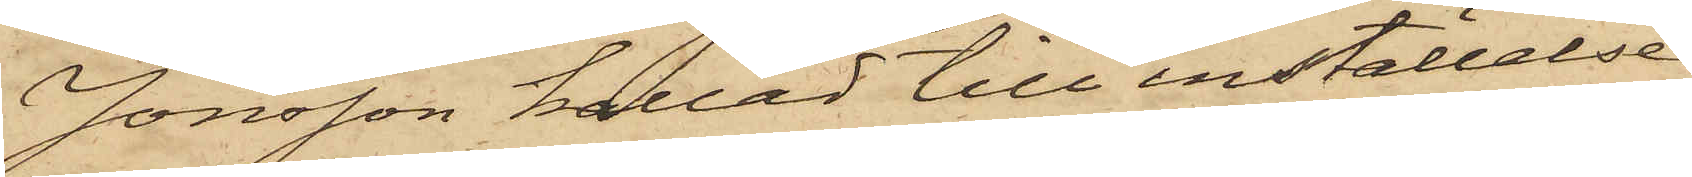Jonsson kallad till inställelse
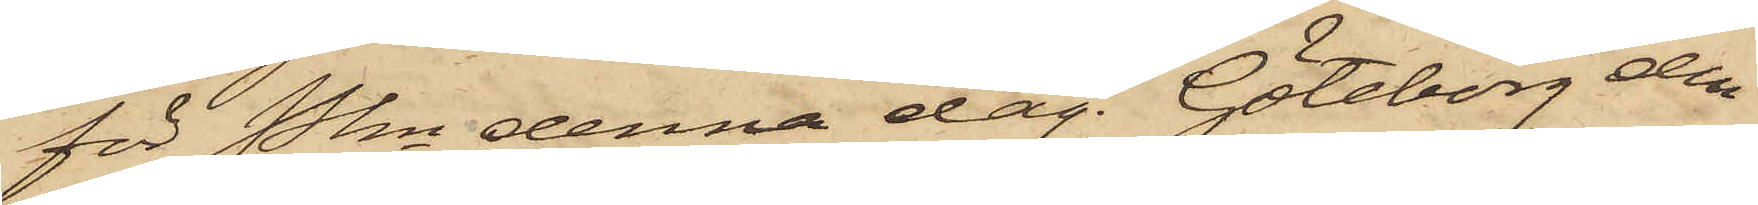för Pkn denna dag. Göteborg den
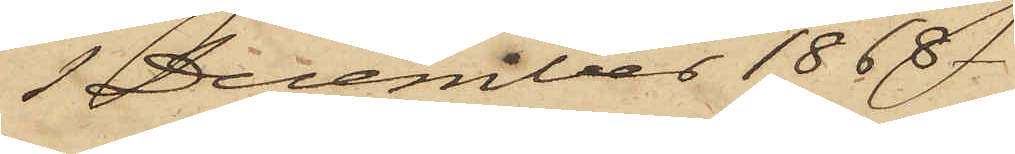1 December 1868.
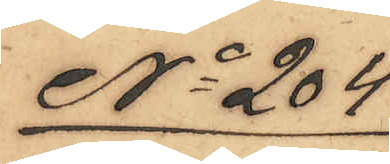No 204
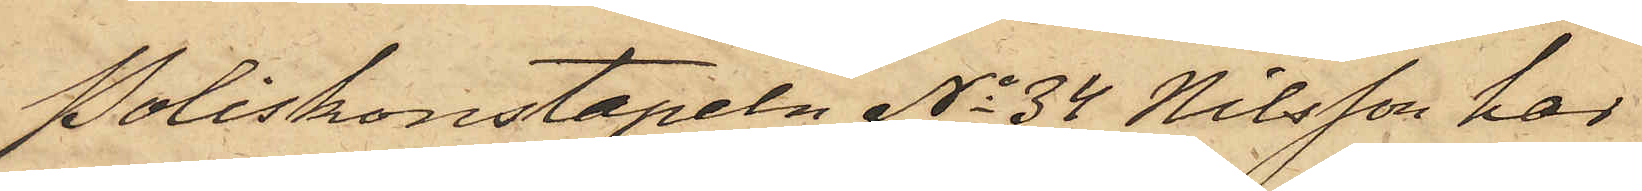Poliskonstapeln No 34 Nilsson har
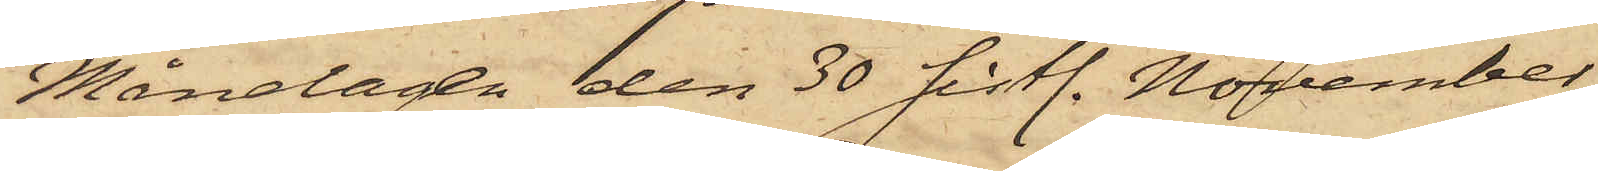Måndagen den 30 sistl. November
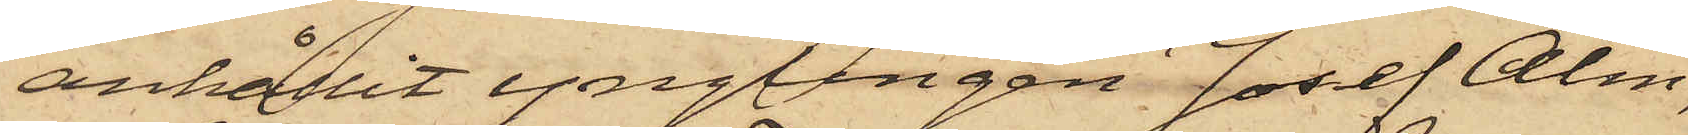anhållit ynglingen Josef Alm,
